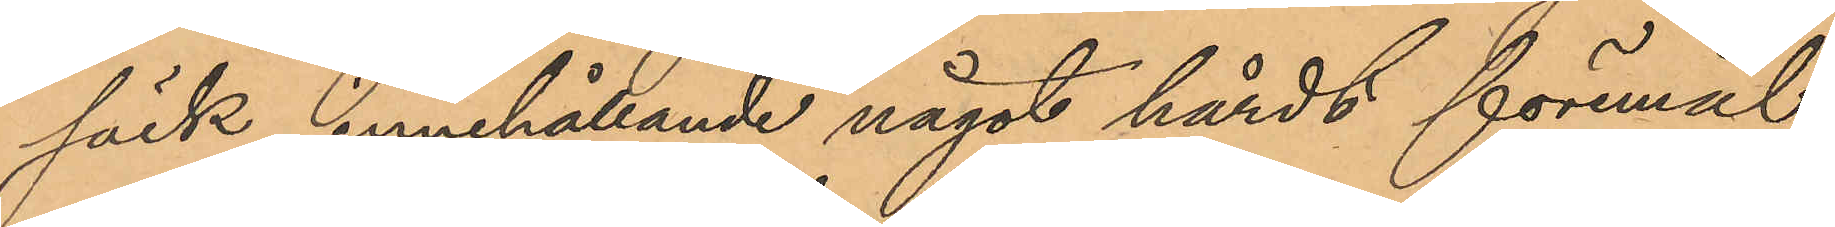säck, innehållande något hårdt föremål;
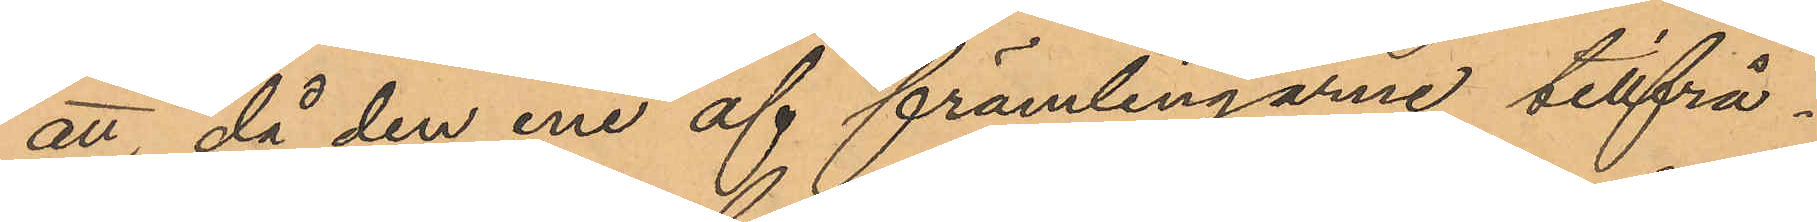att, då den ene af främlingarne tillfrå¬
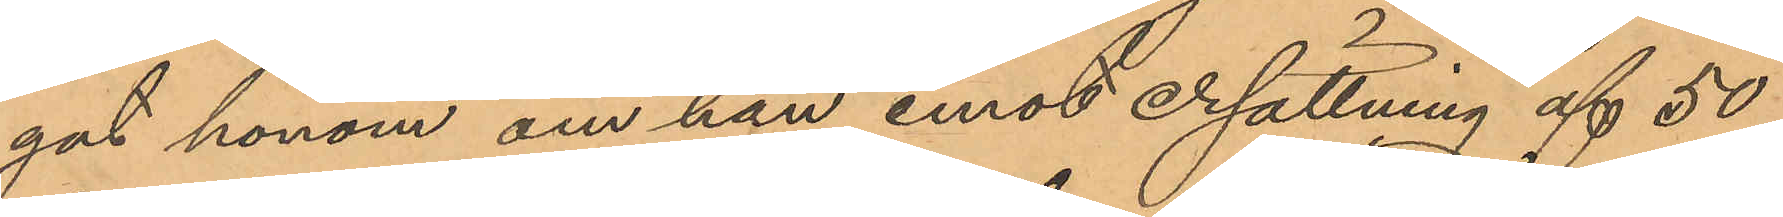gat honom om han emot ersättning af 50
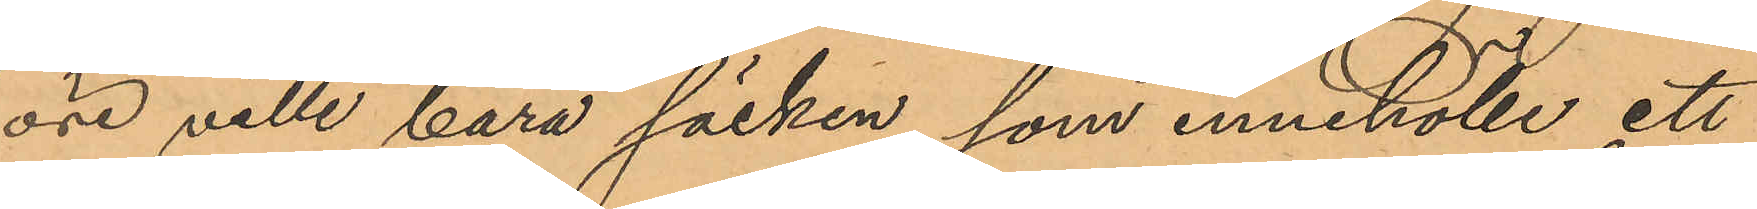öre ville bära säcken, som innehölle ett
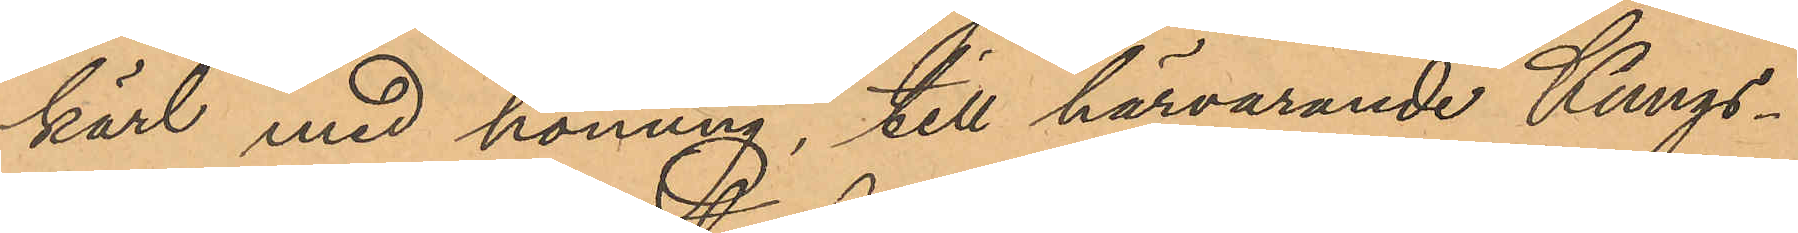kärl med honung, till härvarande Kungs¬
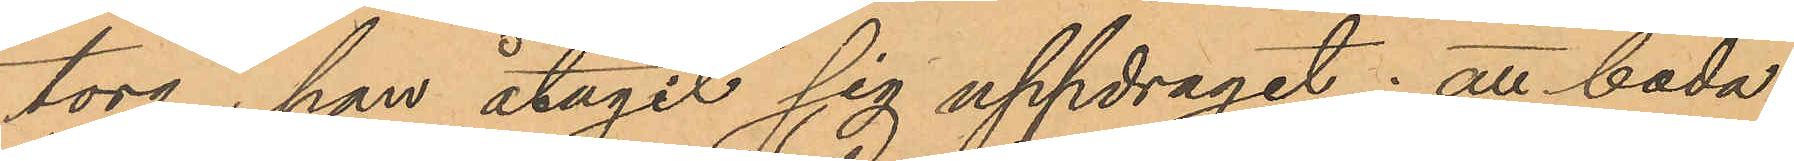torg, han åtagit sig uppdraget; att båda
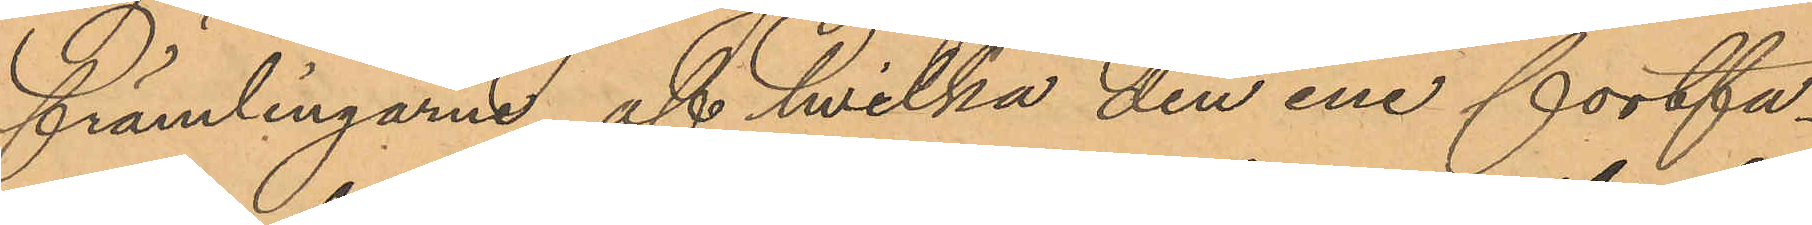främlingarne, af hvilka den ene fortfa¬
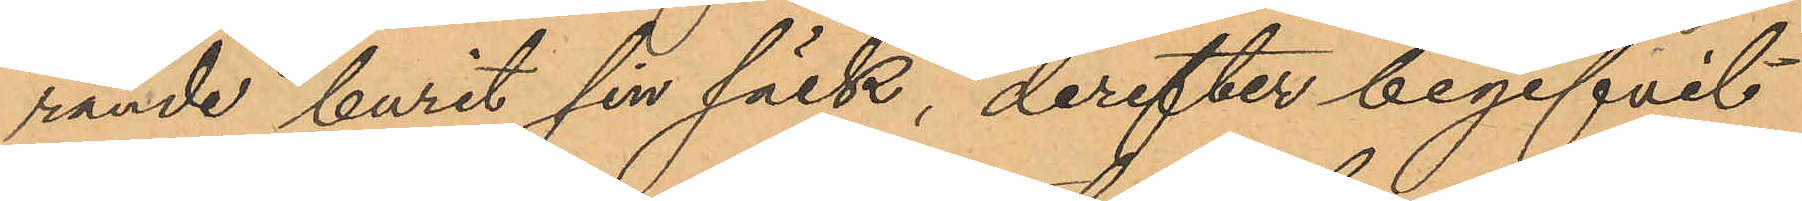rande burit sin säck, derefter begifvit
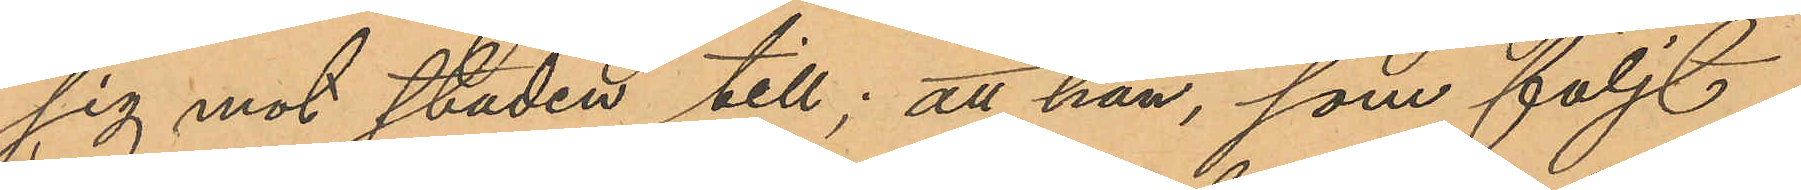sig mot staden till; att han, som följt
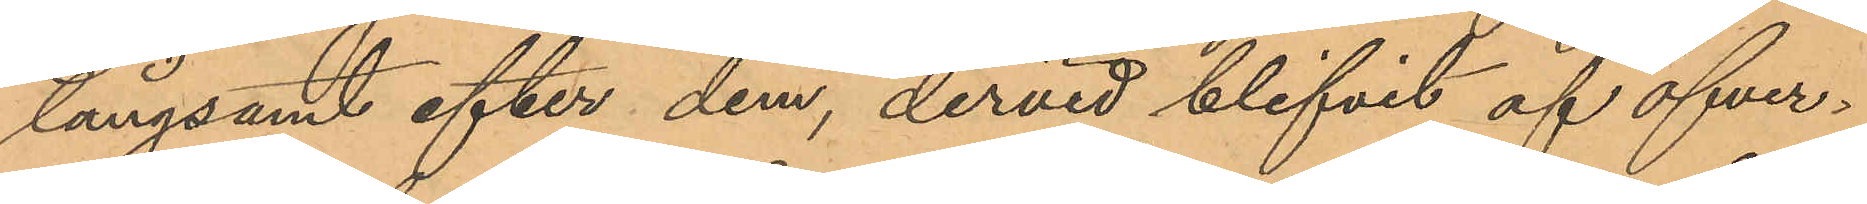långsamt efter dem, dervid blifvit af öfver¬
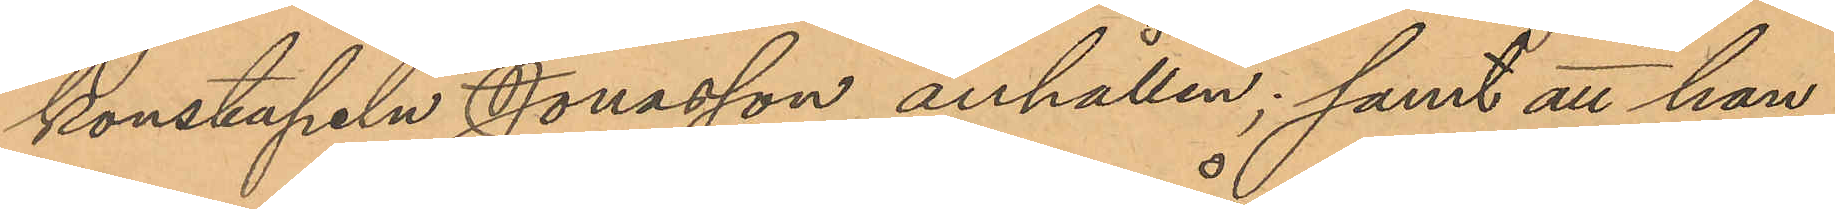konstapeln Jonasson anhållen; samt att han,
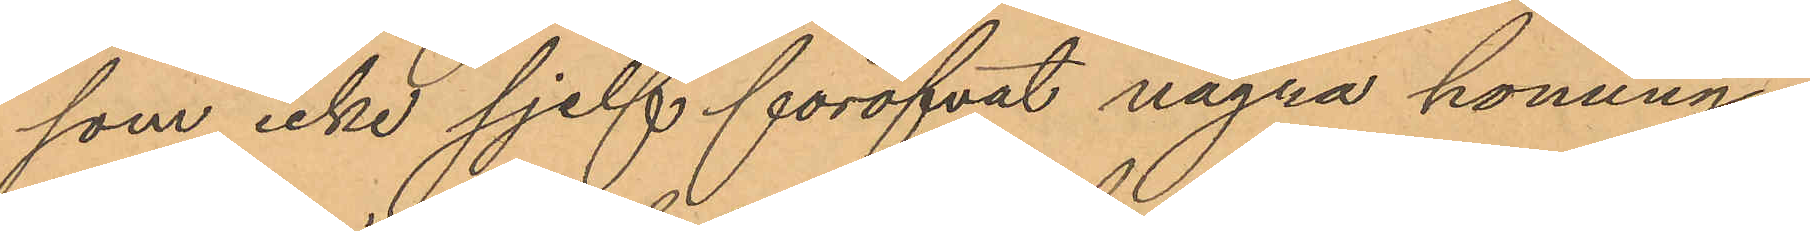som icke sjelf föröfvat några honung¬
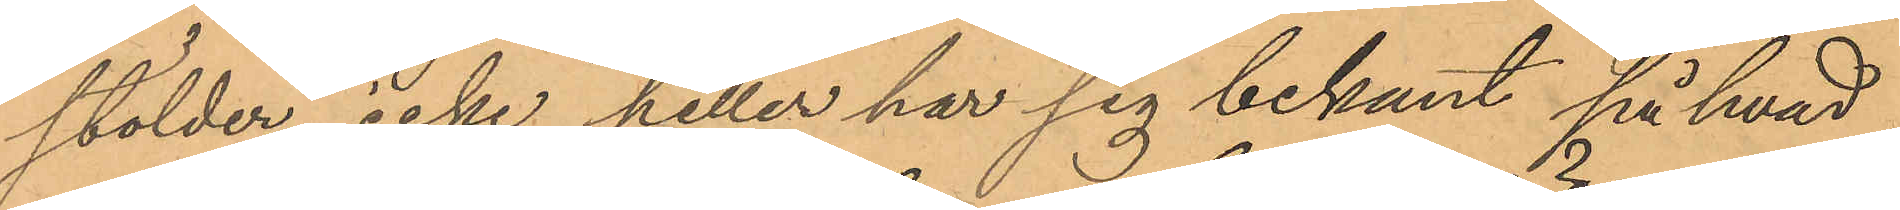stölder, icke heller har sig bekant på hvad
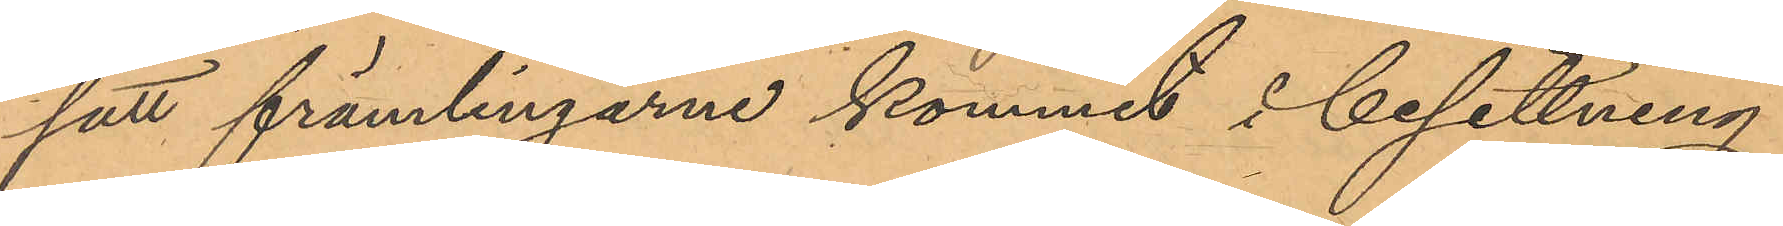sätt främlingarne kommit i besittning
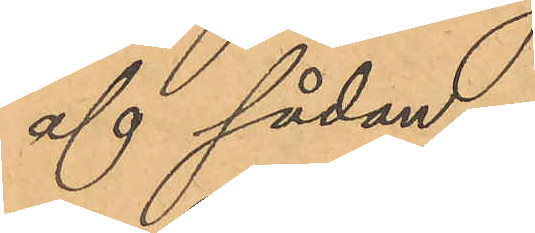af sådan.
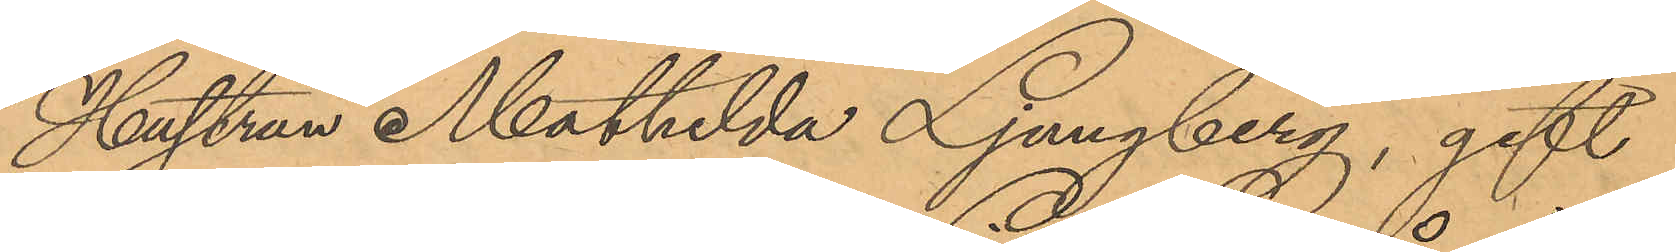Hustrun Mathilda Ljungberg, gift
